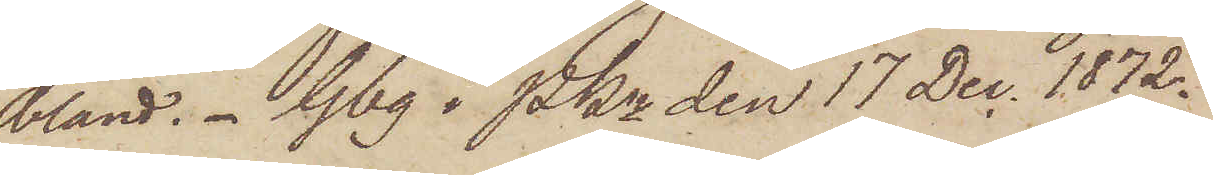bland. Gbg i Pkn den 17 Dec. 1872.
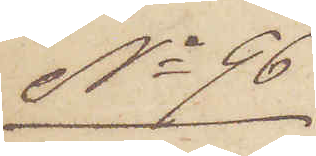No 96
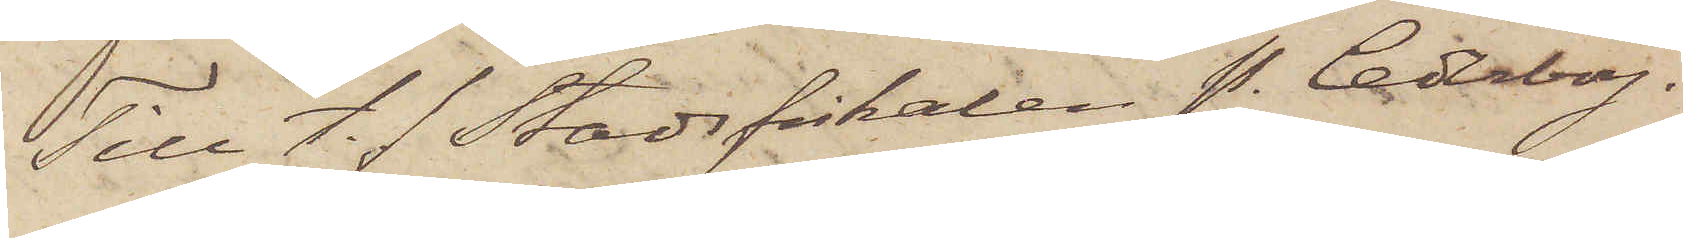Till t. f. Stadsfiskalen P. Cederborg.
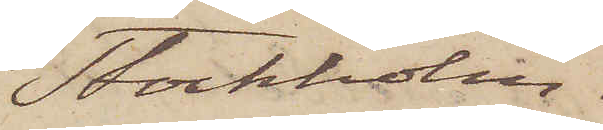Stockholm.
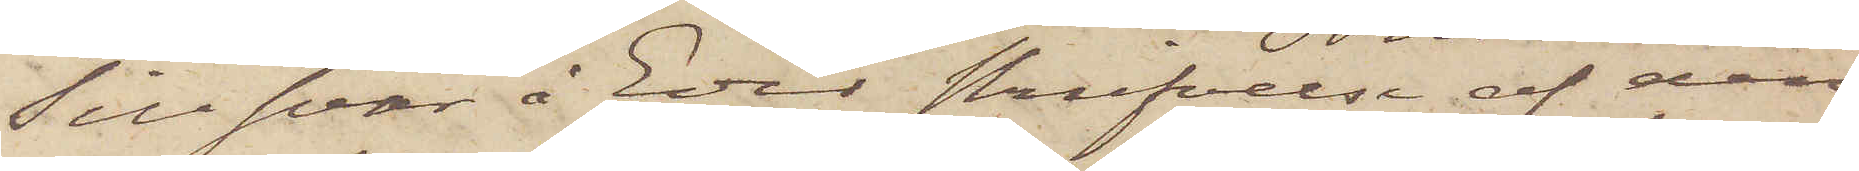Till svar å Eder skrifvelse af den
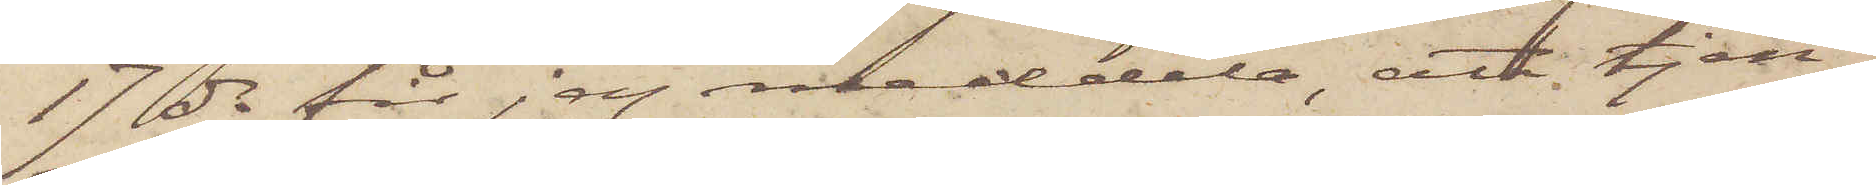17 ds får jag meddela att tjen¬
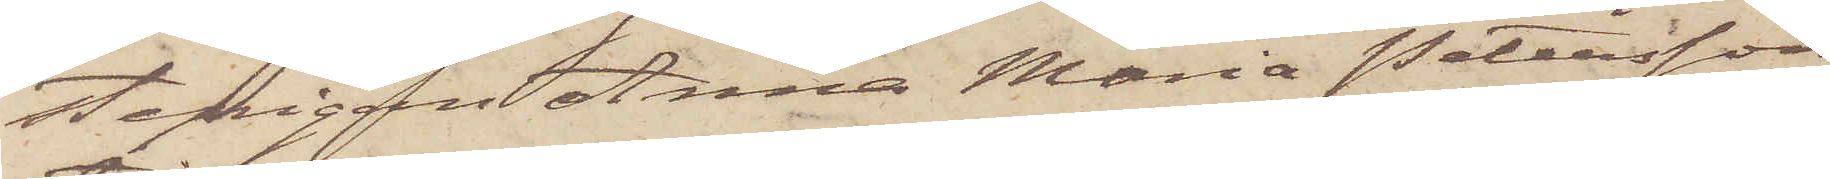stepigan Anna Maria Petersson
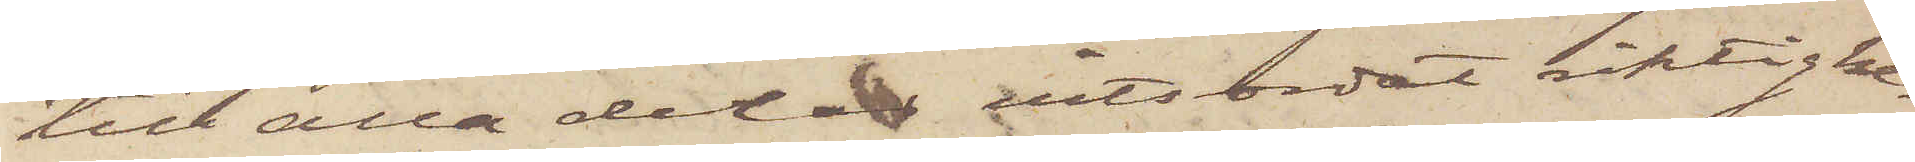till alla dela vitsordat riktighe¬
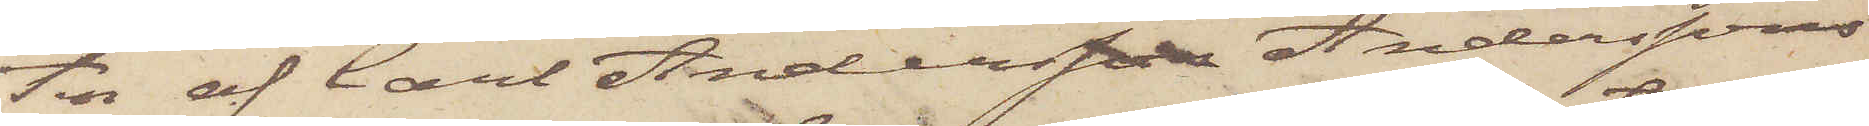ten af Carl Andersson Anderssons
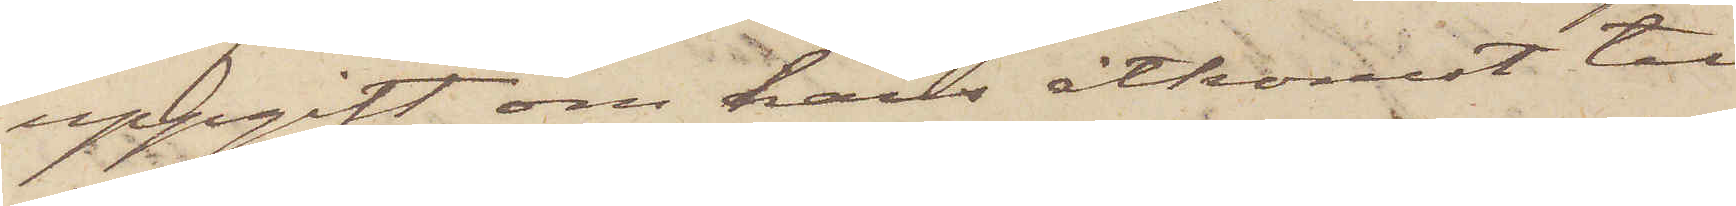uppgift om hans åtkomst till
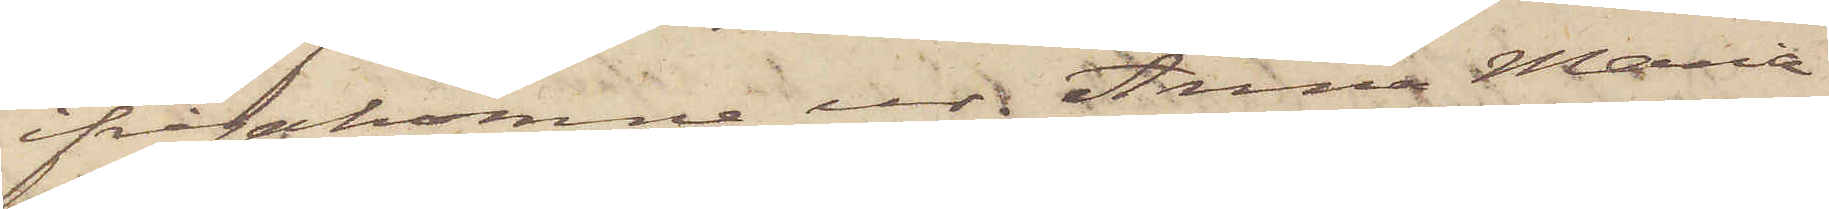ifrågakomne ur. Anna Maria
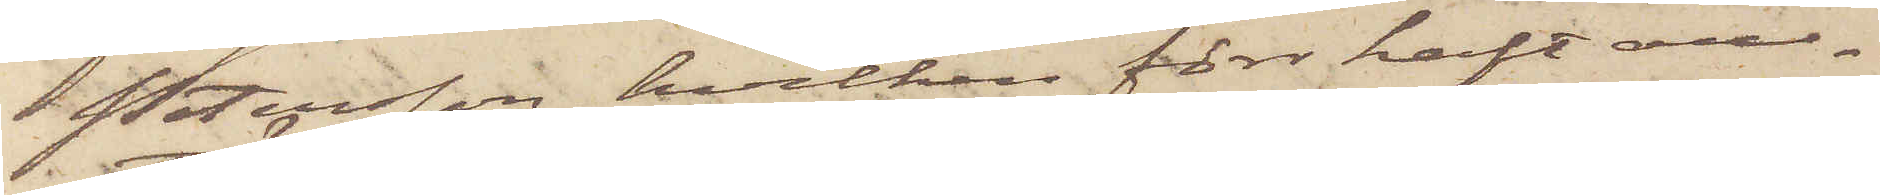Petersson, hvilken förr haft an¬
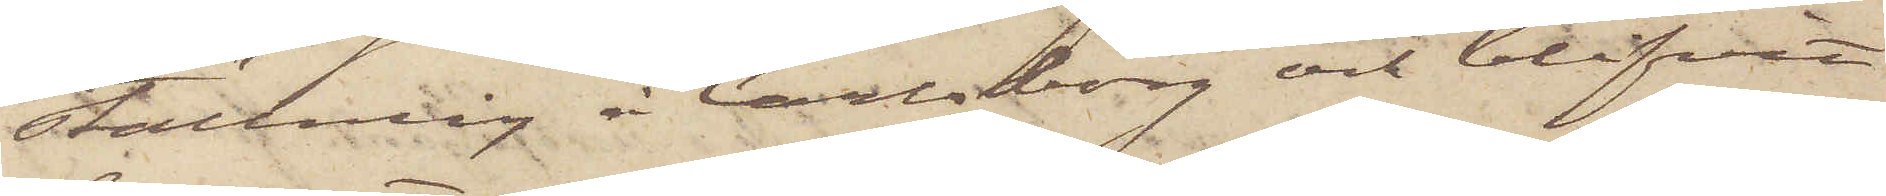ställning i Carlsborg och blifvit
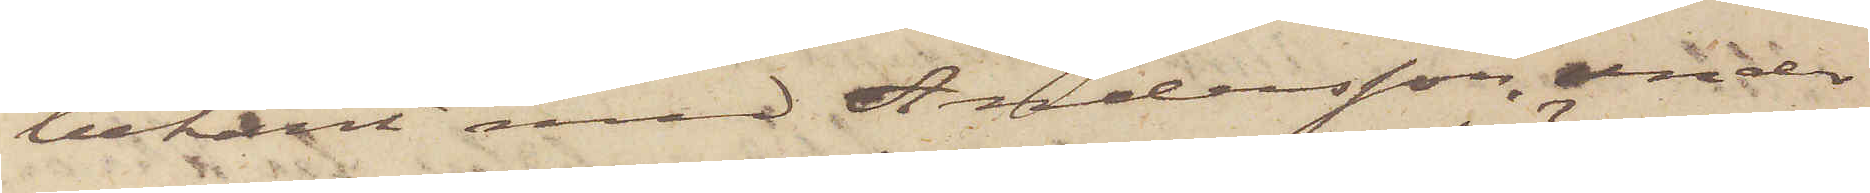bekant med Andersson, under
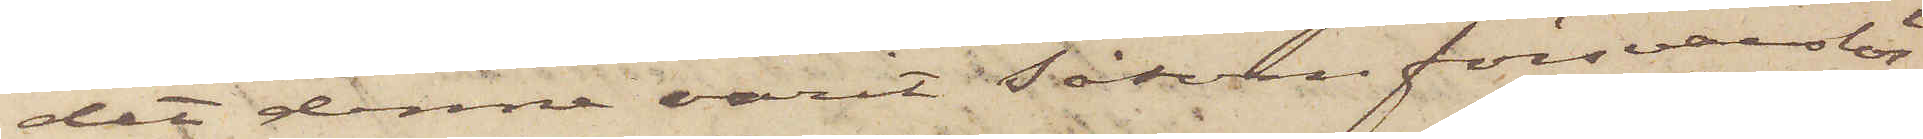det denne varit såsom försvarslös
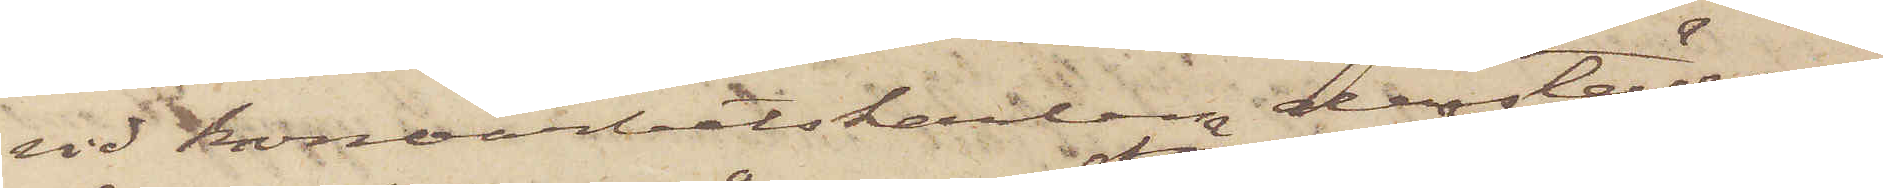vid Kronoarbetskarlen derstädes,
